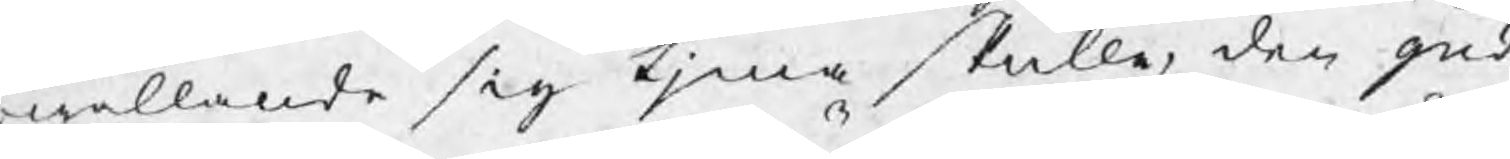rwållande sig tjena skulle, den gud
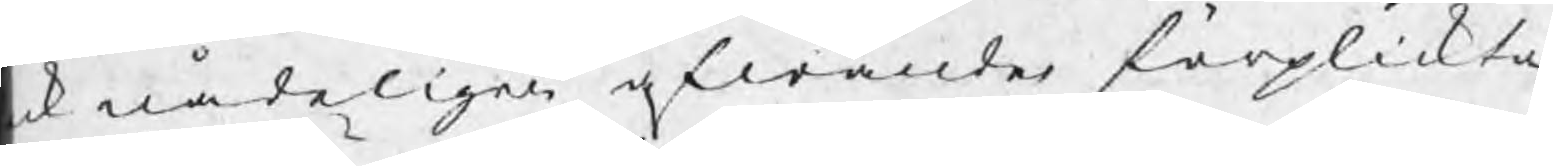ck nådeligen afwände förplickta
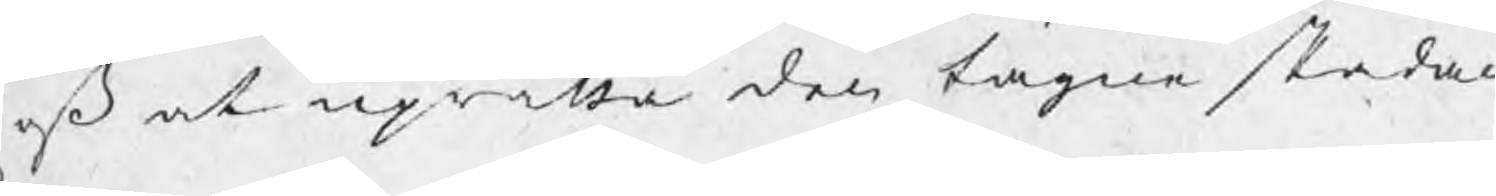j oß at uprätta den tagne skadan
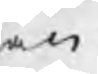en.
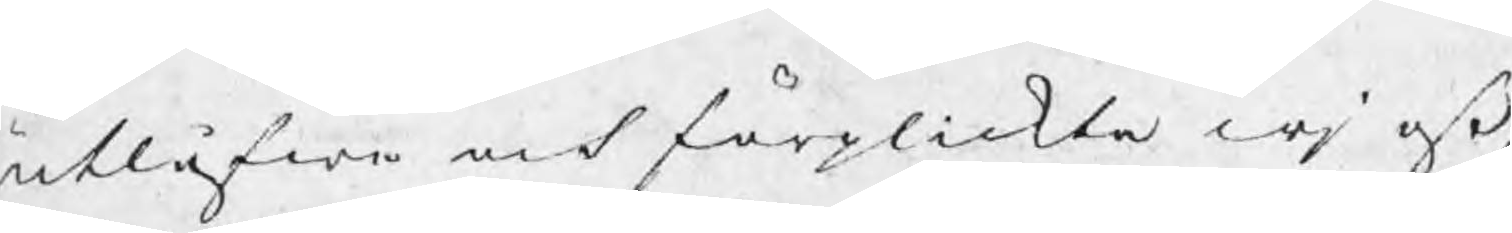utlåfwa och förplickta wj oß
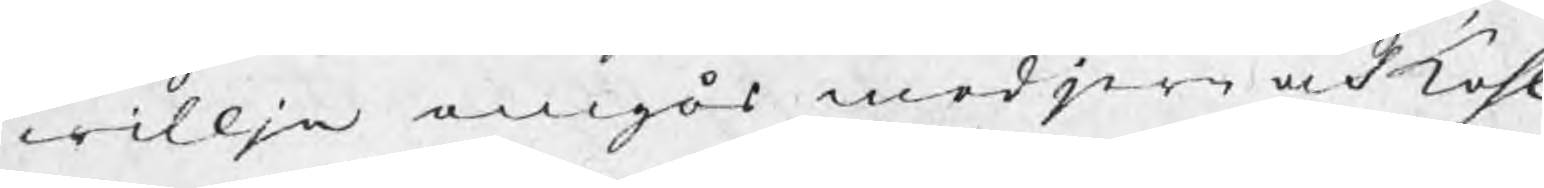willja omgås med jern och kohl
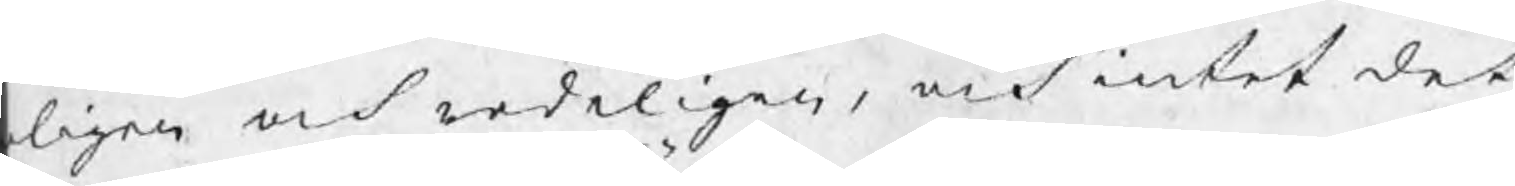eligen och redeligen, och intet det
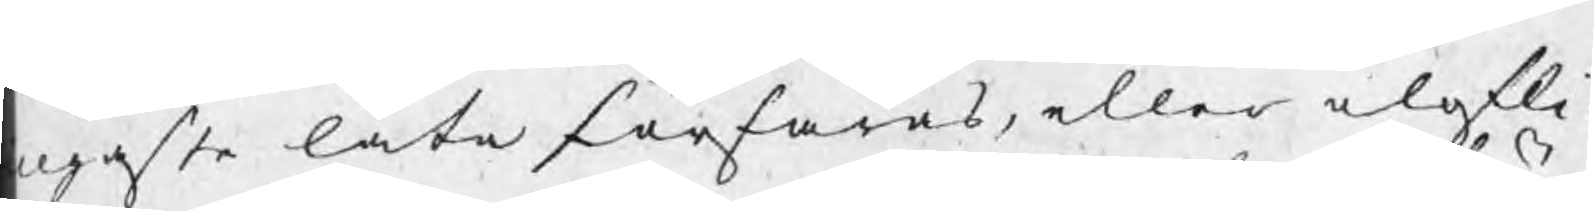ngaste låta förfaras, eller olofli¬
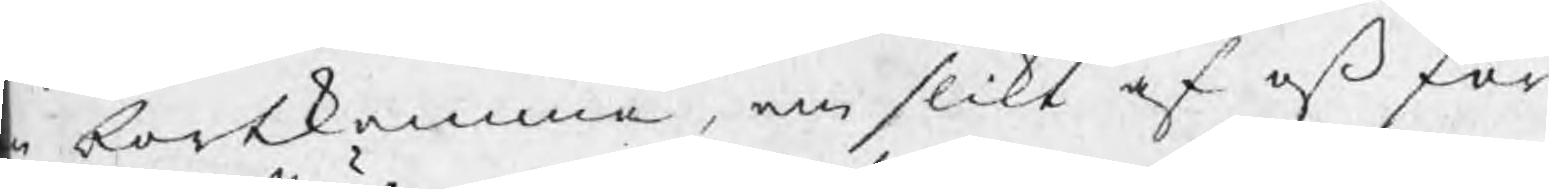n bortkomma, om slikt af oß för¬
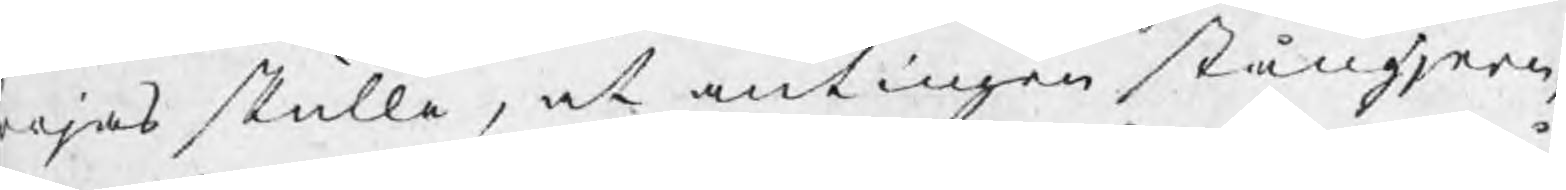ejas skulle, at antingen stångjern
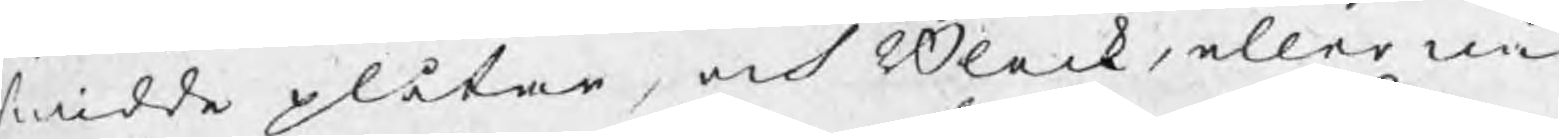smidde plåtar, och Bleck, eller nå¬
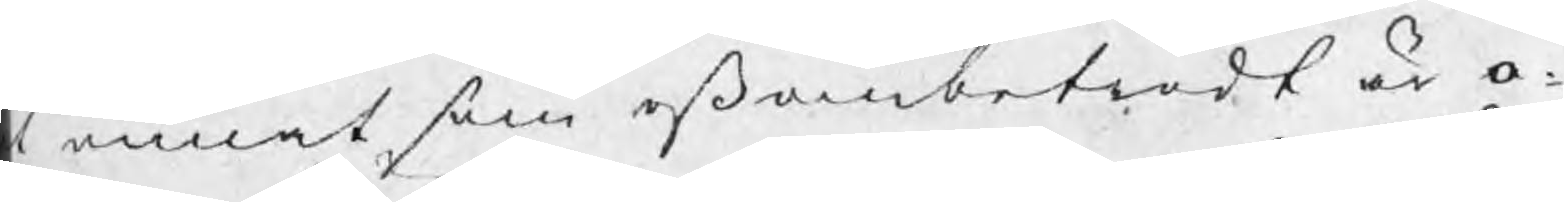t annat som oß ombetrodt är o¬
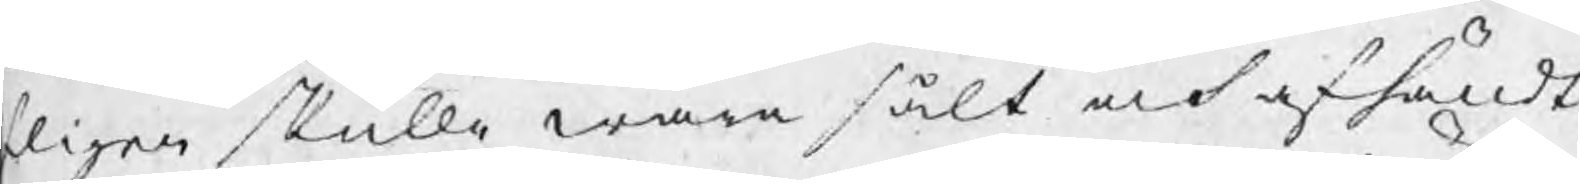fligen skulle wara sålt och afhändt,
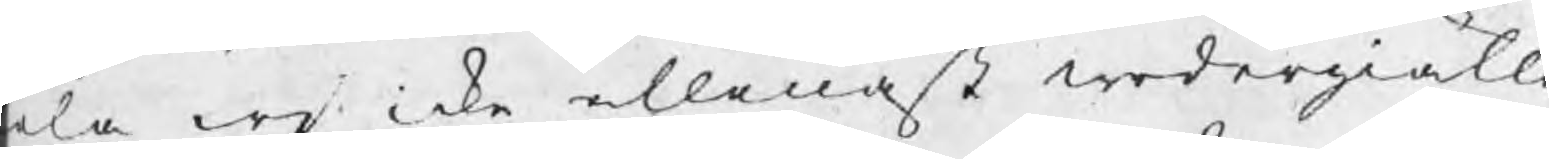ela wj icke allenast wedergiälla
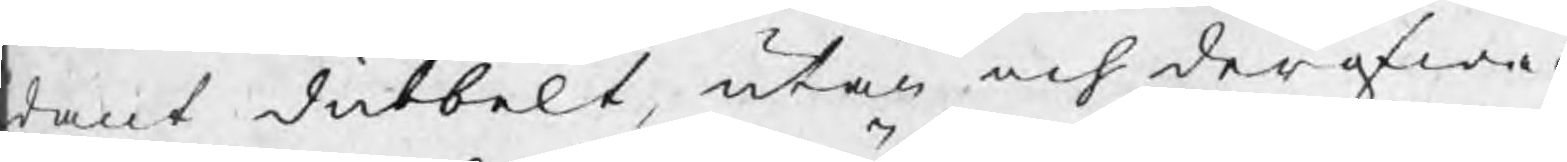dant dubbelt, utan och derofwer
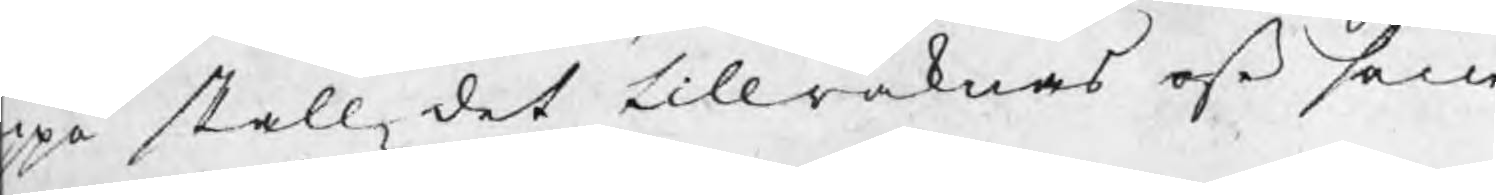ppå skall det tillräknas oß som
